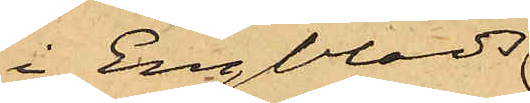i Engblads
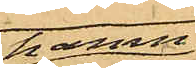hamn¬
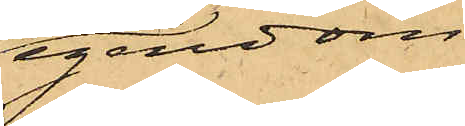egendom
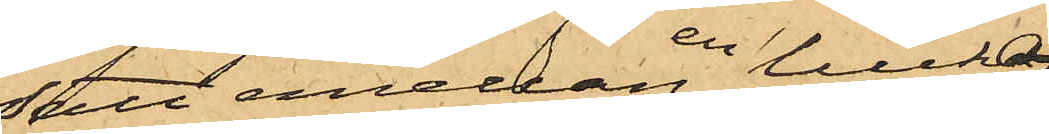satt emellan en lucka
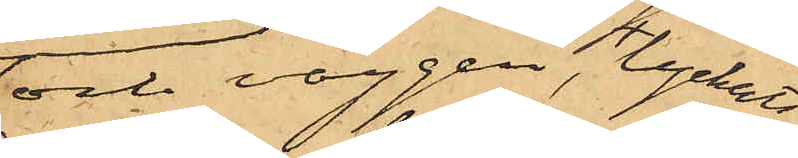och väggen, lyckats
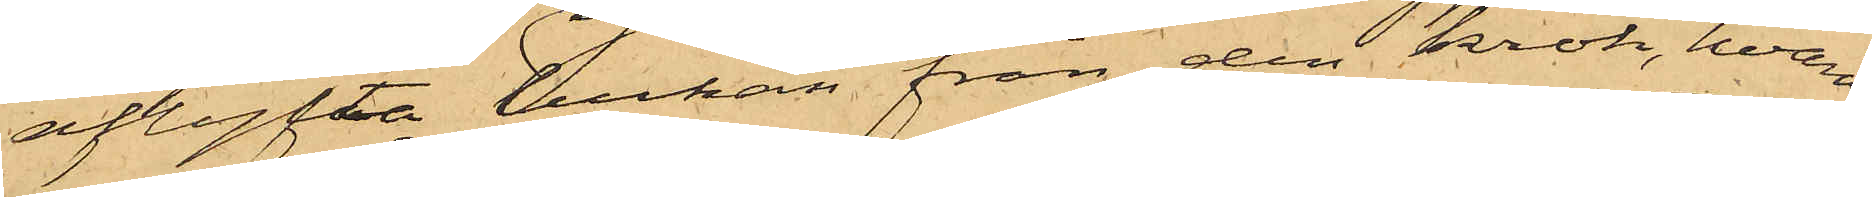aflyfta luckan från den krok, hvarå
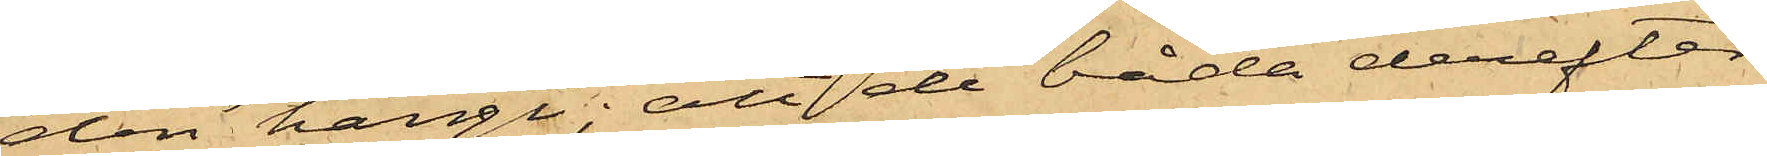den hängt; att de båda derefter
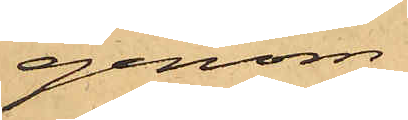genom
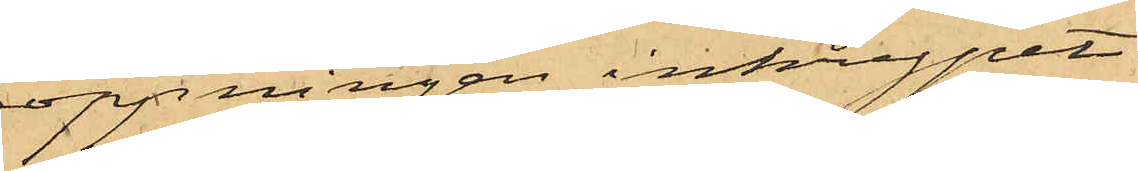öppningen inkrupit
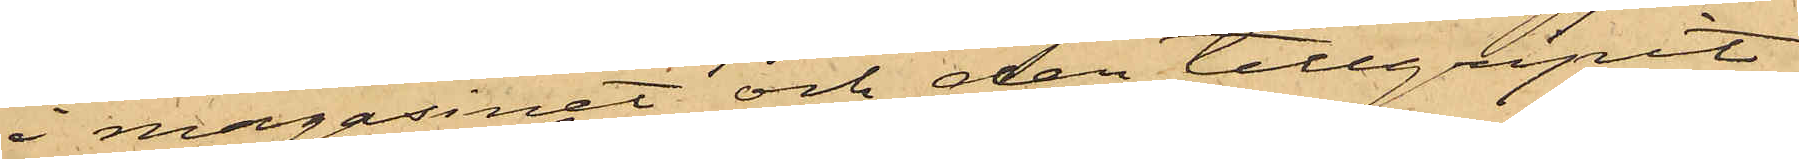i magasinet och der tillgripit
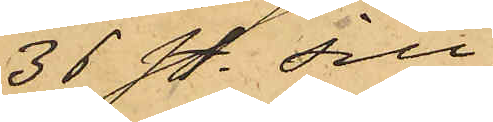36 st. sill,
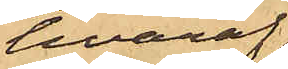hvaraf
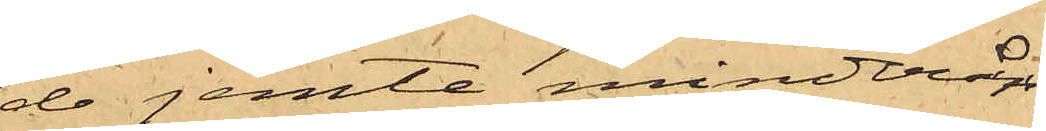de jemte minderåri¬
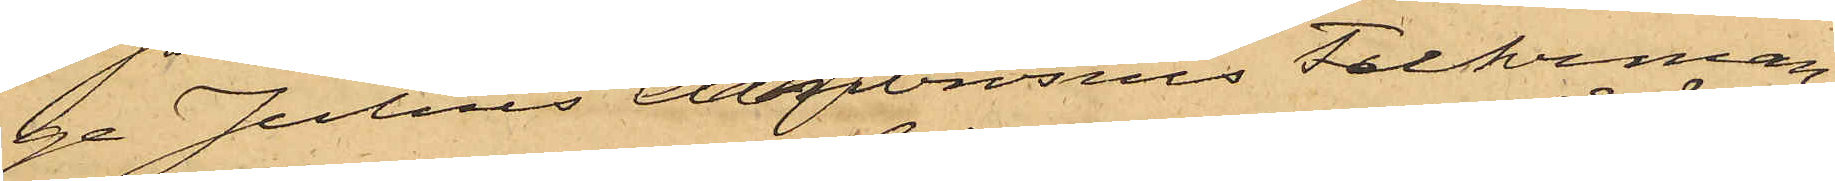ge Julius Ambrosius Fuhrman
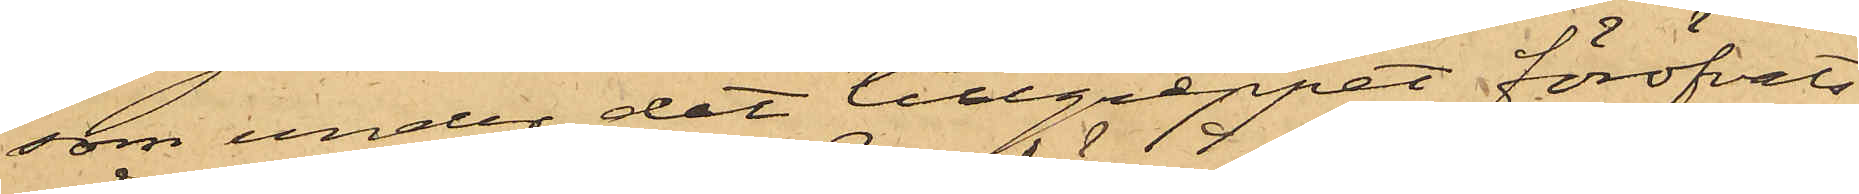som under det tillgreppet föröfvats
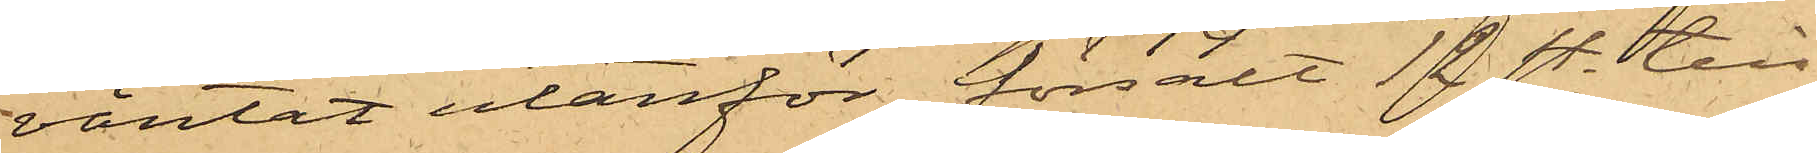väntat utanför försålt 12 st. till
